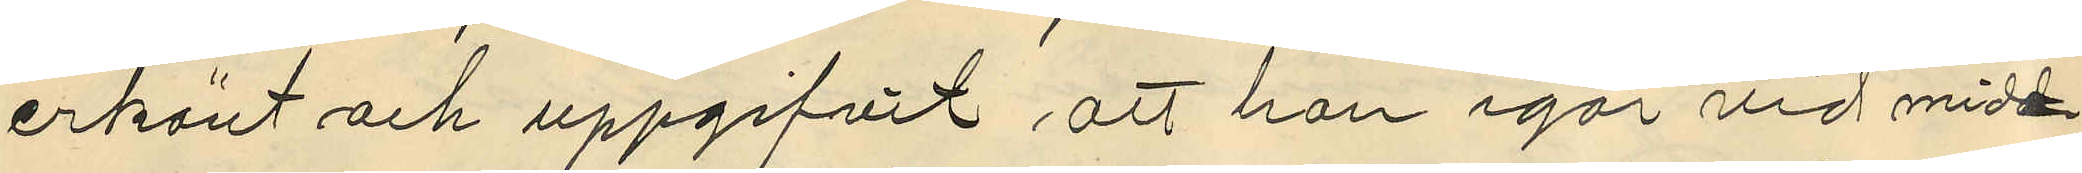erkänt och uppgifvit att han igår vid mid¬
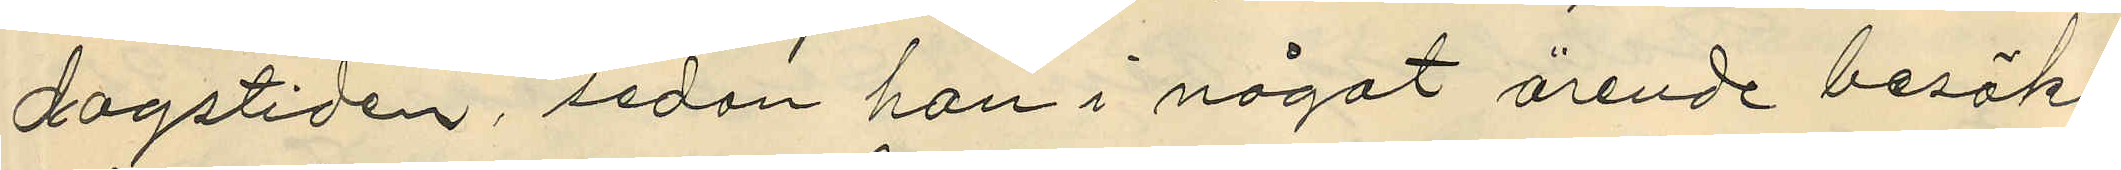dagstiden, sedan han i något ärende besökt
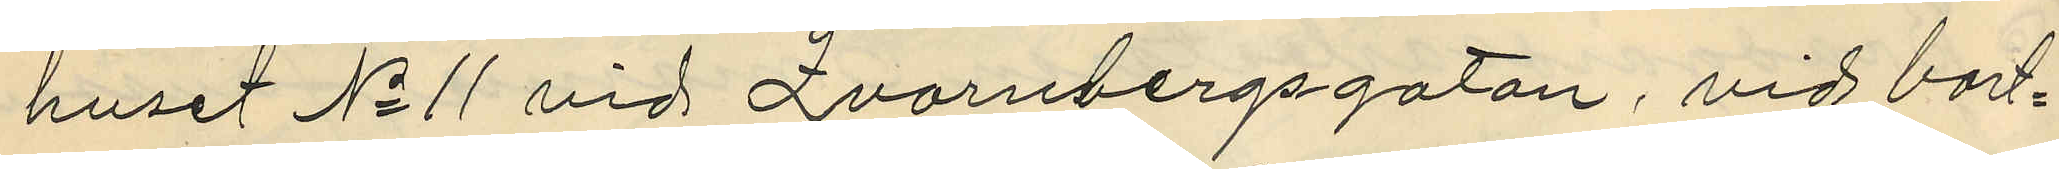huset No 11 vid Qvarnbergsgatan, vid bort¬
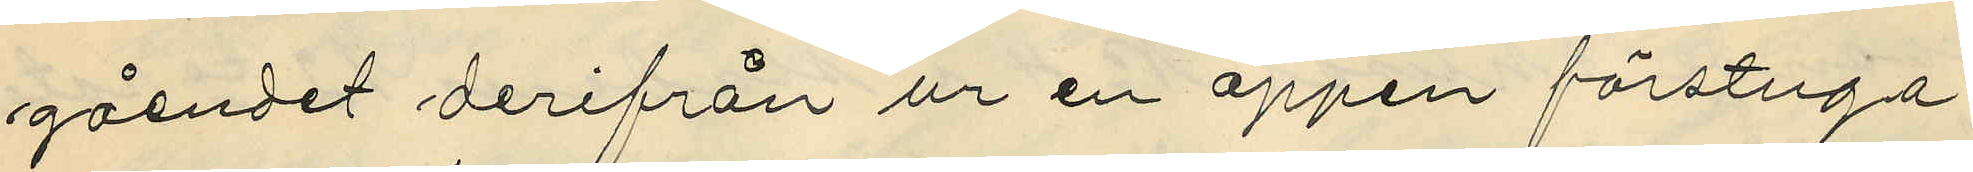gåendet derifrån ur en öppen förstuga
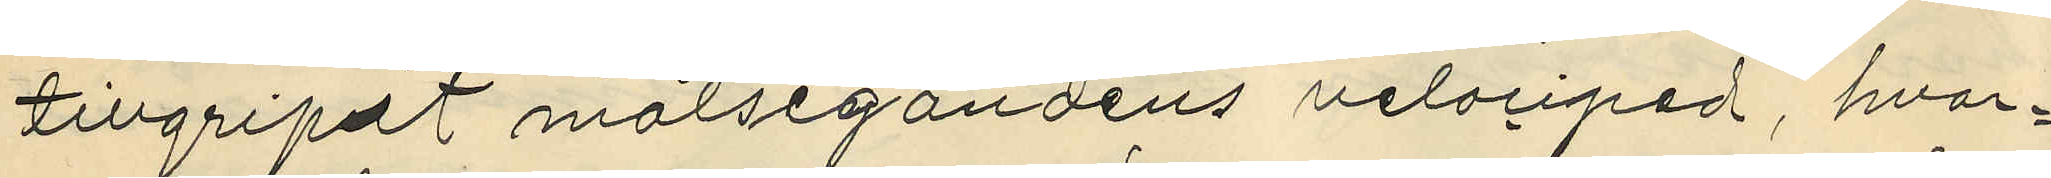tillgripdt målsegandens velociped, hvar¬
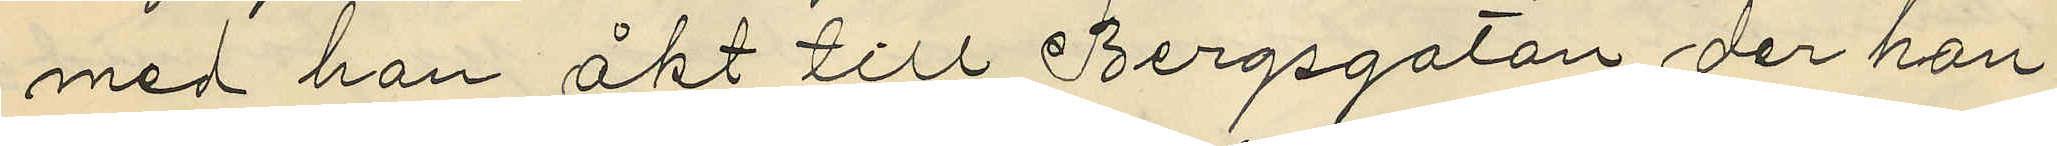med han åkt till Bergsgatan der han
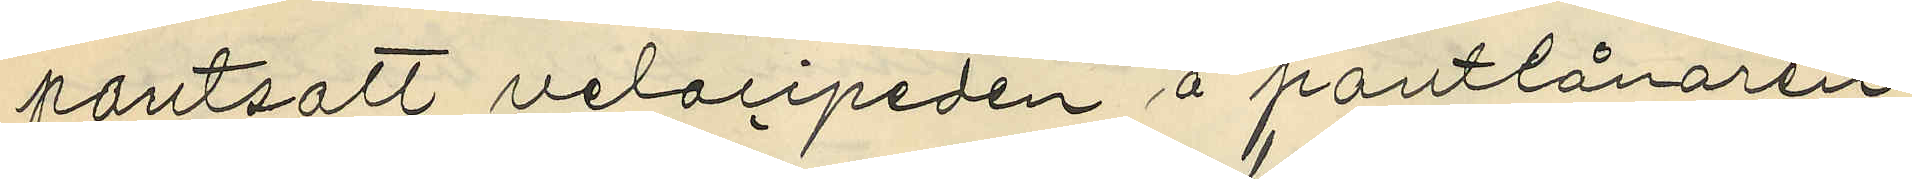pantsatt velocipeden å pantlånaren
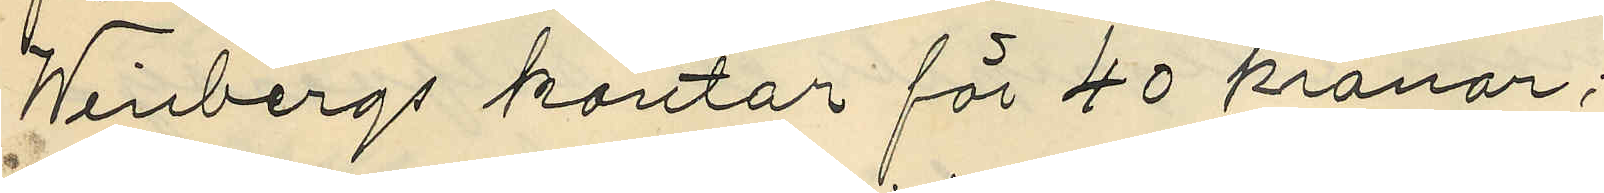Winbergs kontor för 40 kronor;
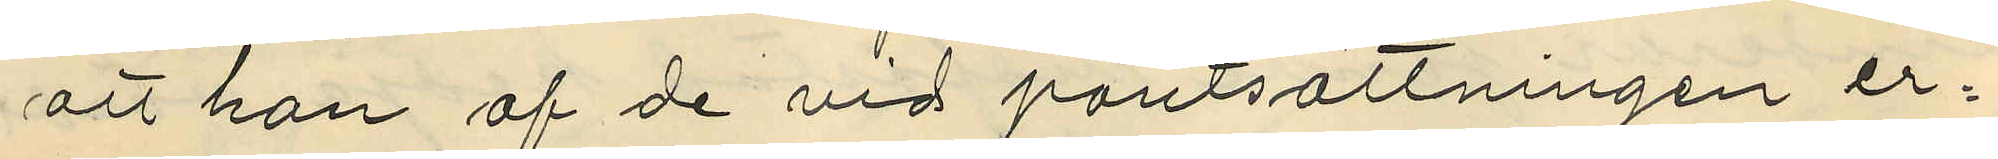att han af de vid pantsättningen er¬
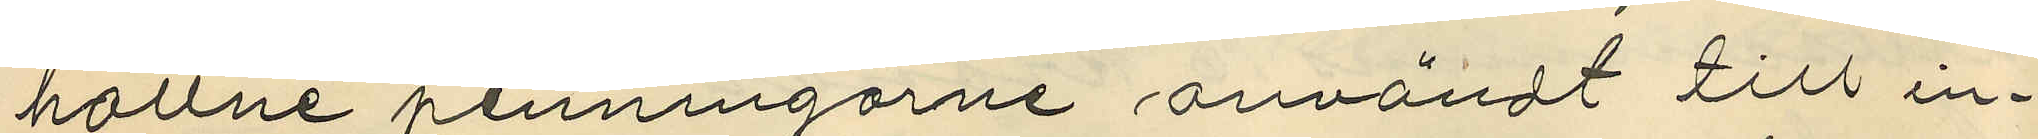hållne penningarne användt till in¬
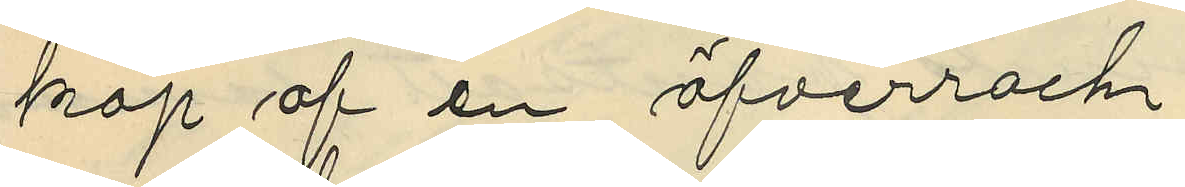köp af en öfverrock
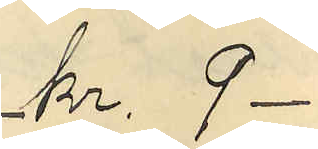kr. 9
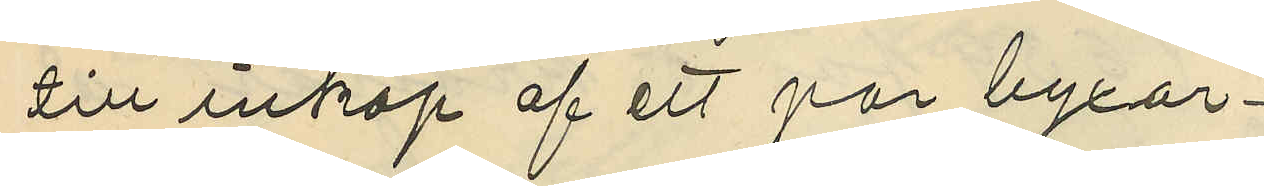till inköp af ett par byxor
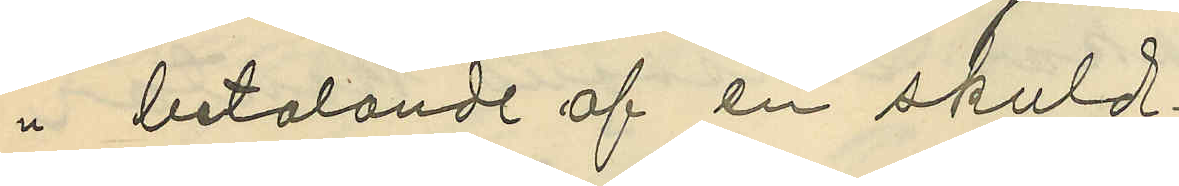 betalande af en skuld
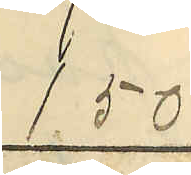1.50
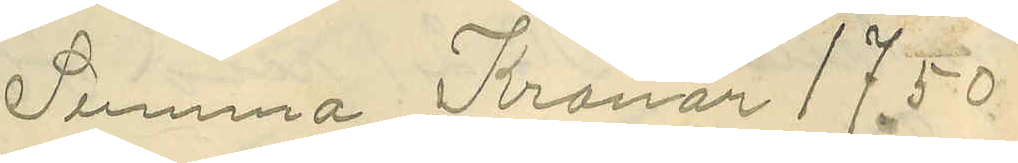Summa Kronor 17.50
